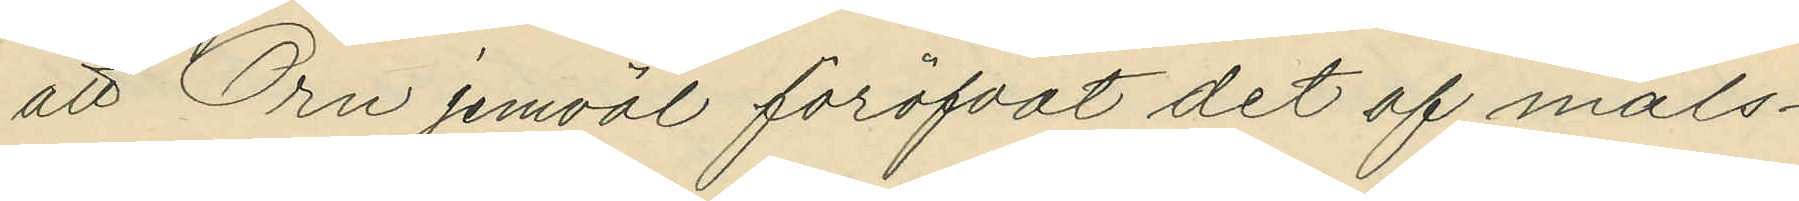att Örn jemväl föröfvat det af måls¬
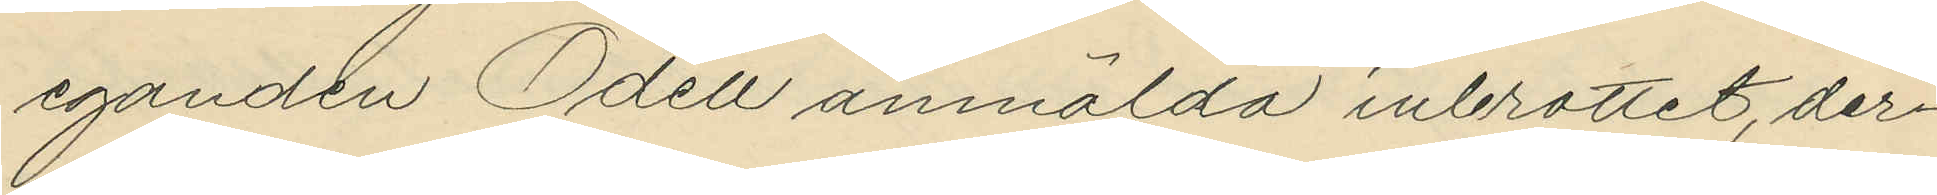eganden Odell anmälda inbrottet, der¬
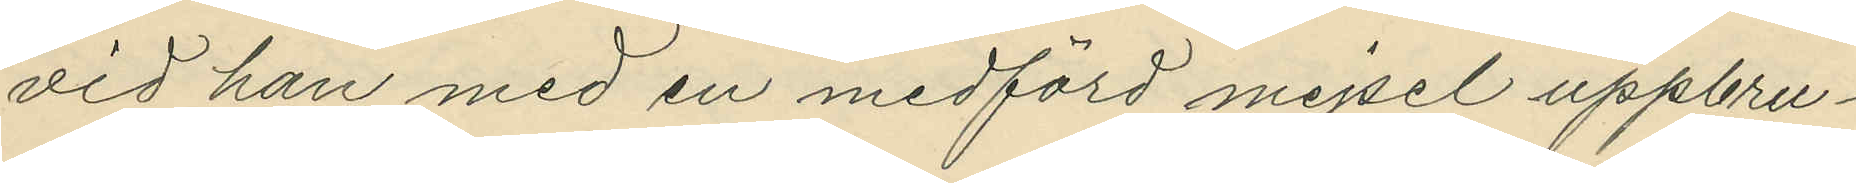vid han med en medförd mejsel uppbru¬
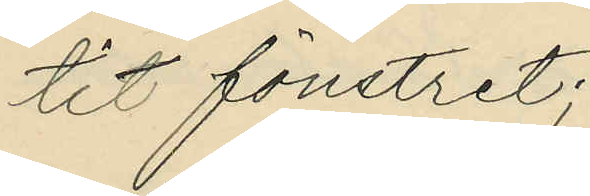tit fönstret;
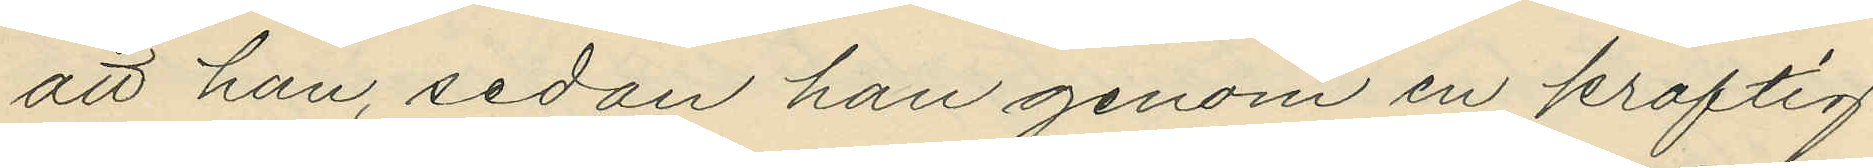att han, sedan han genom en kraftig
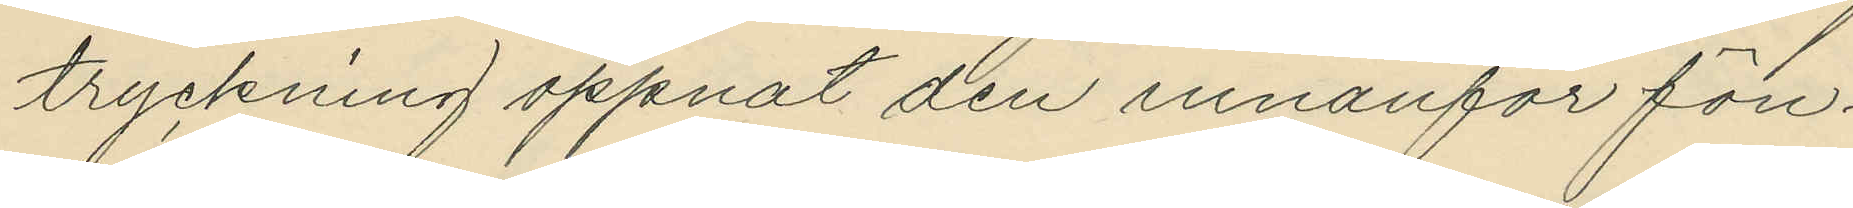tryckning öppnat den innanför fön¬
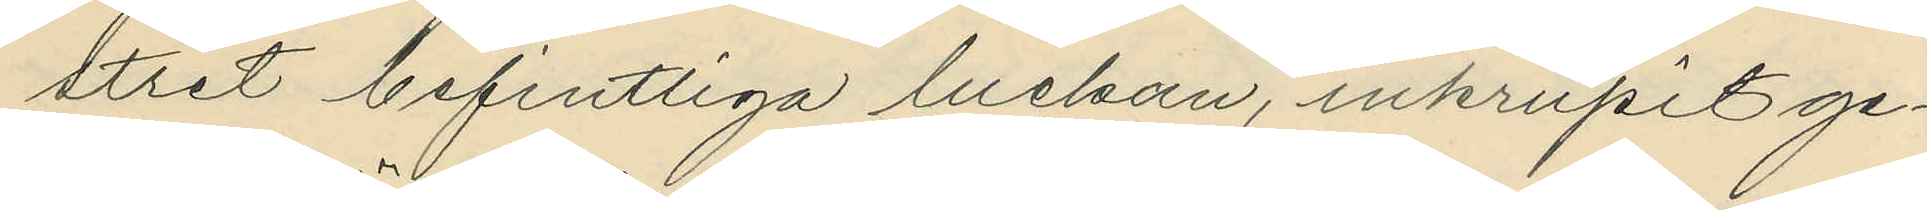stret befintliga luckan, inkrupit ge¬
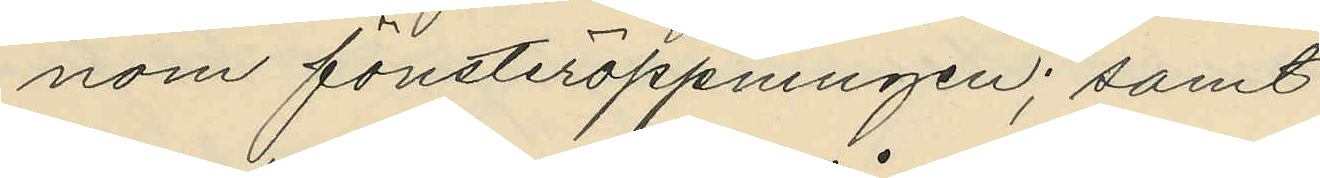nom fönsteröppningen; samt
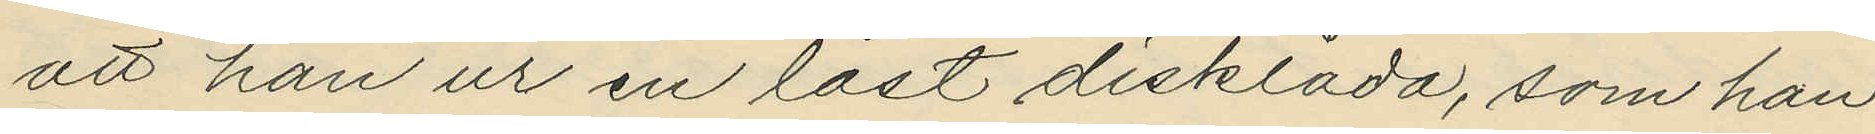att han ur en låst disklåda, som han
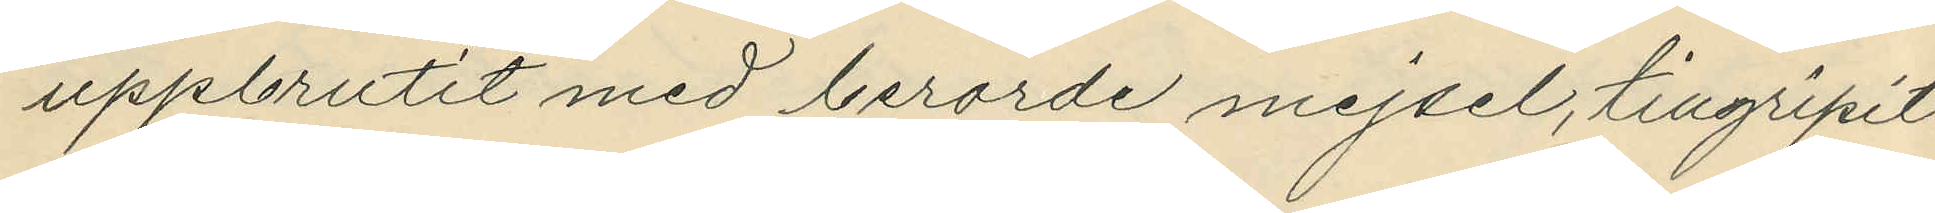uppbrutit med berörde mejsel, tillgripit
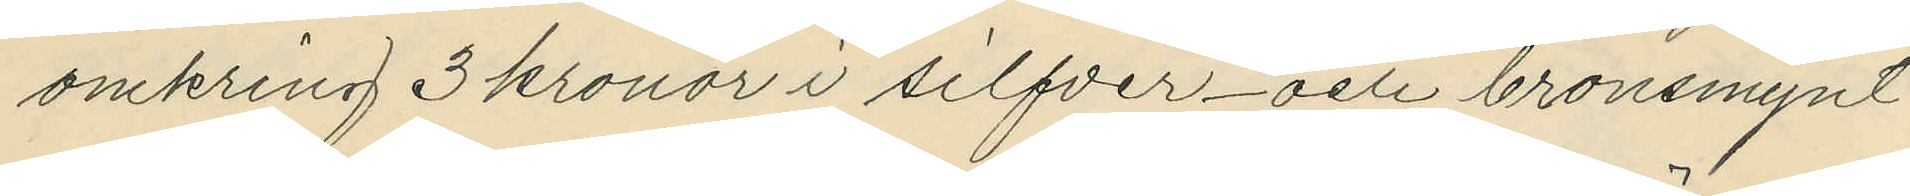omkring 3 kronor i silfver¬ och bronsmynt
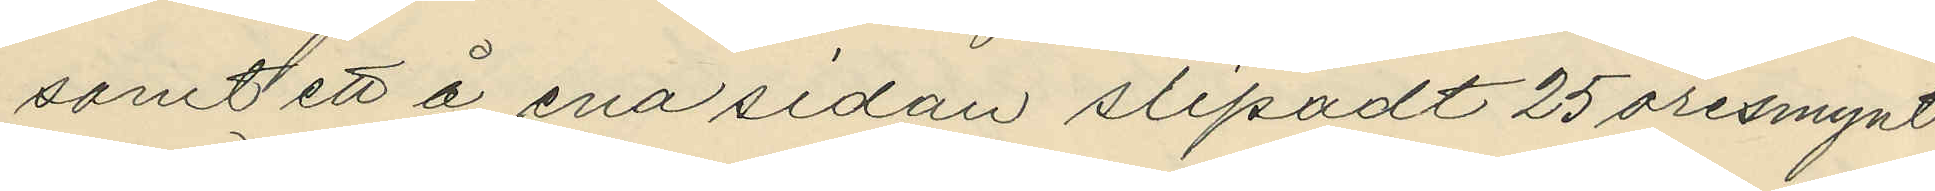samt ett å ena sidan slipadt 25 öresmynt
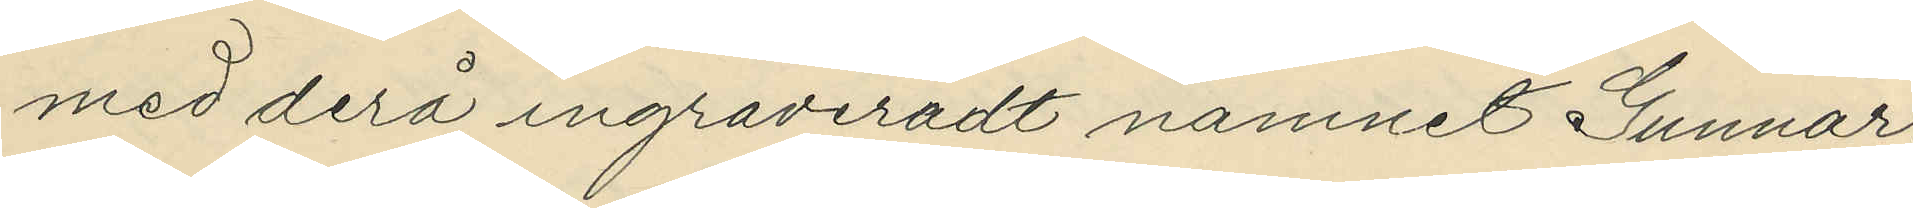med derå ingraveradt namnet Gunnar,
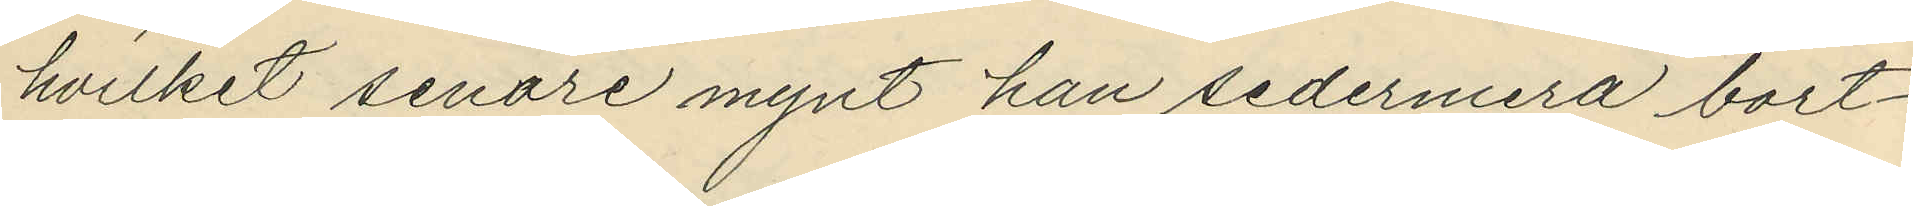hvilket senare mynt han sedermera bort¬
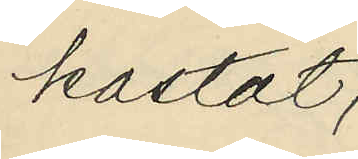kastat;
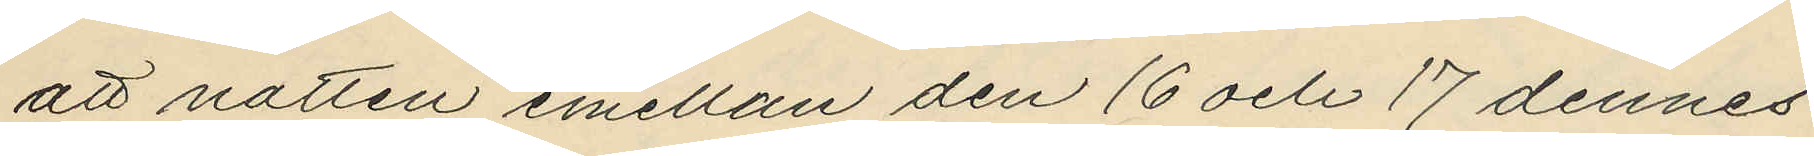att natten emellan den 16 och 17 dennes
